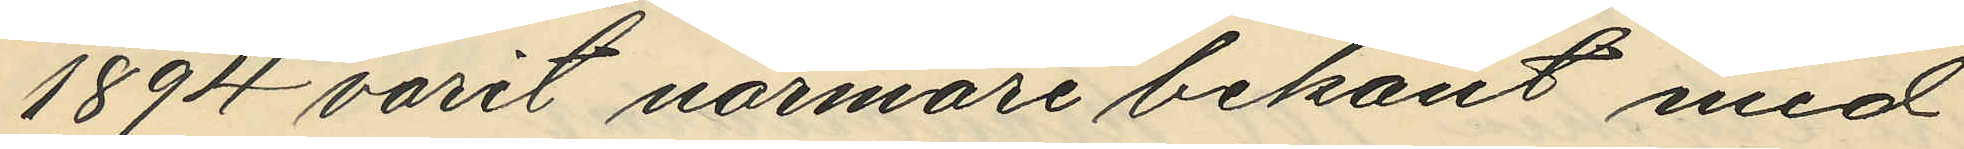1894 varit närmare bekant med
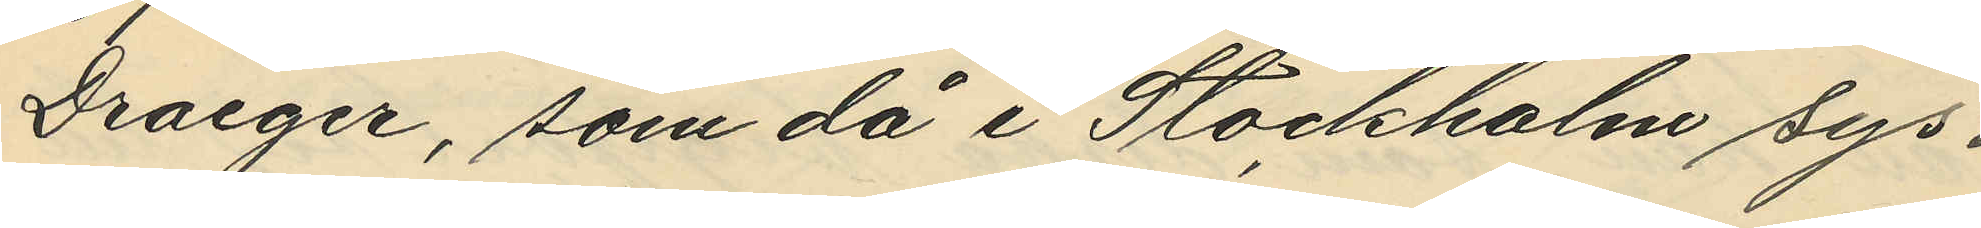Draeger, som då i Stockholm sys¬
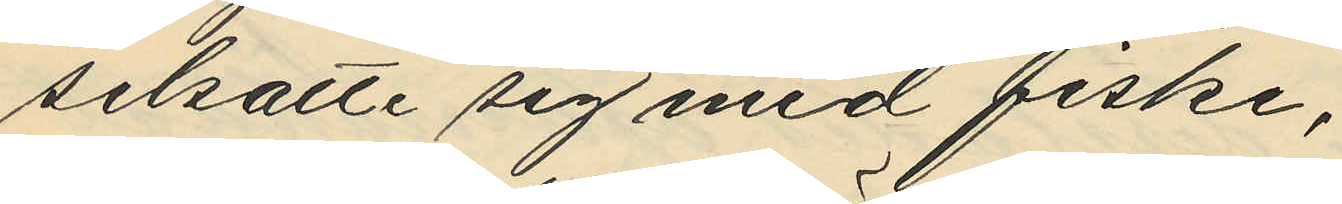selsatte sig med fiske;
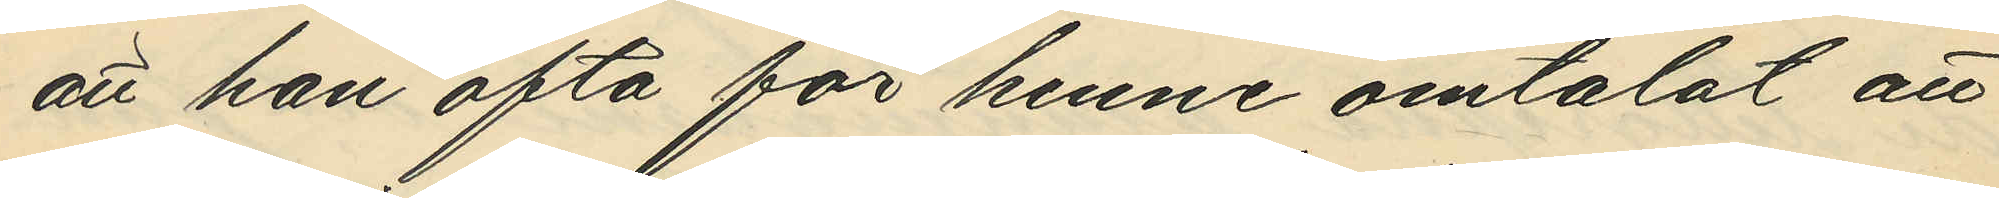att han ofta för henne omtalat att
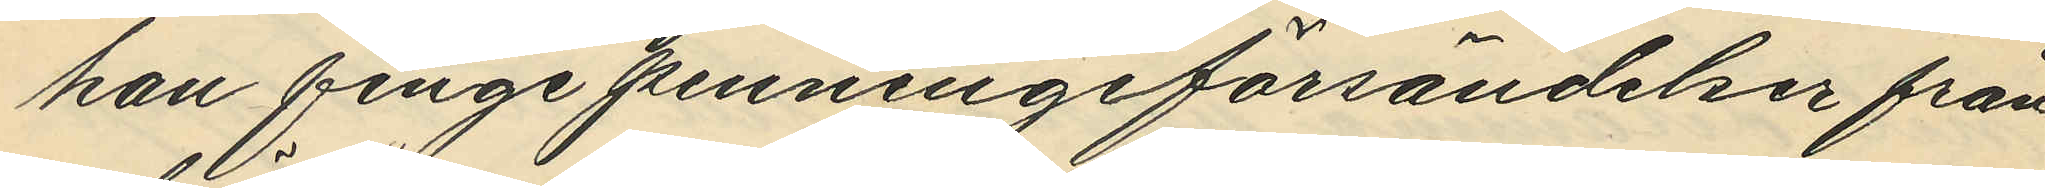han finge penningsförsändelser från
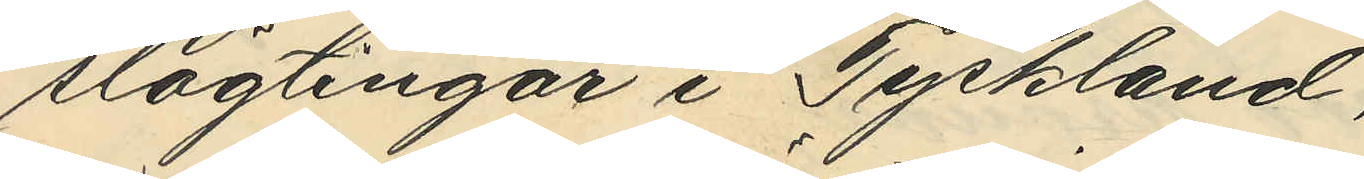slägtingar i Tyrkland,
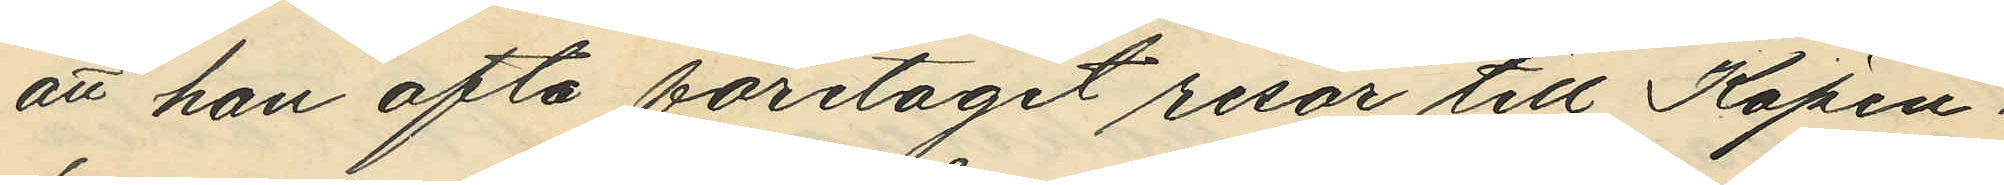att han ofta företagit resor till Köpen¬
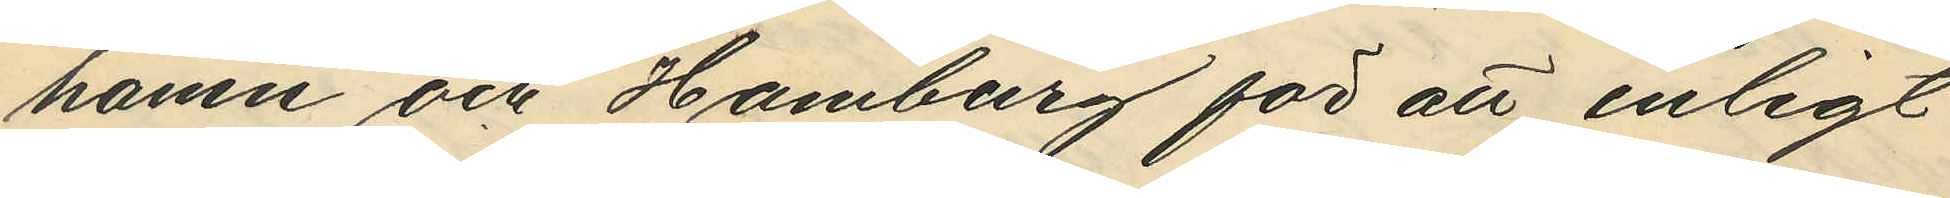hamn och Hamburg för att enligt
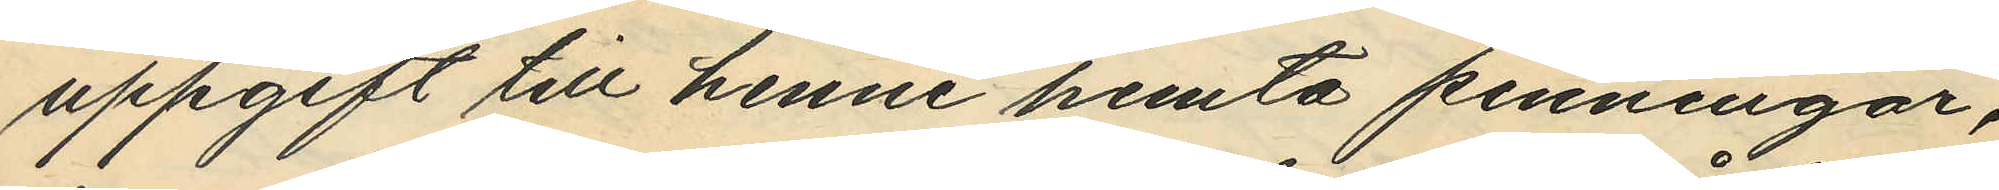uppgift till henne hemta penningar,
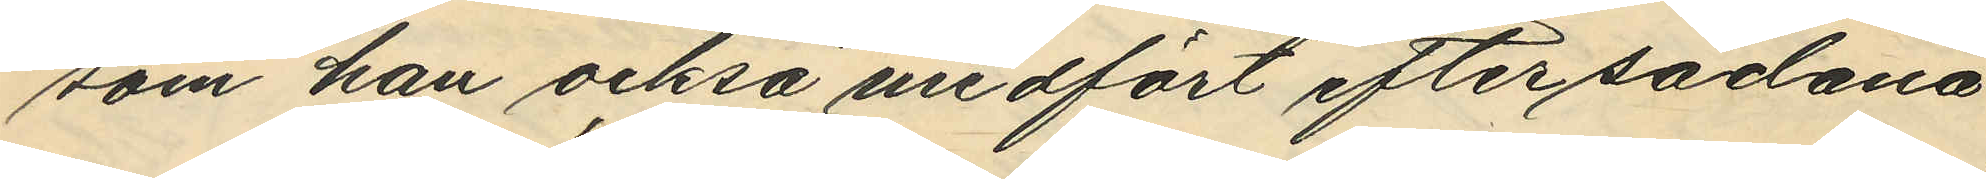som han också medfört efter sådana
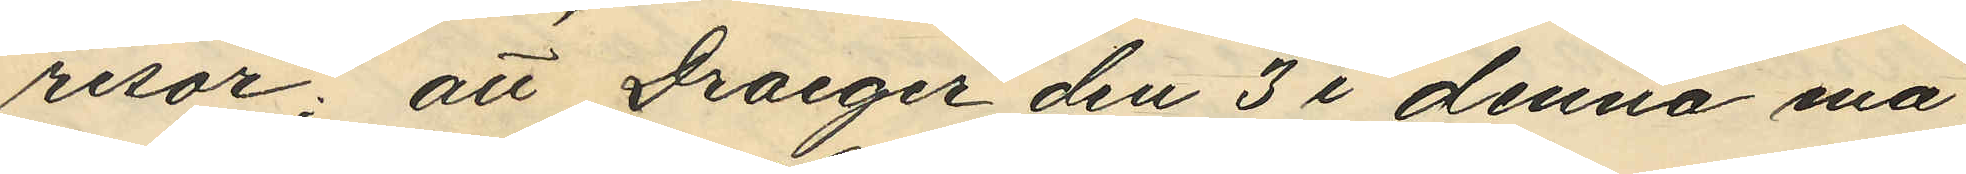resor; att Draeger den 3 i denna må¬
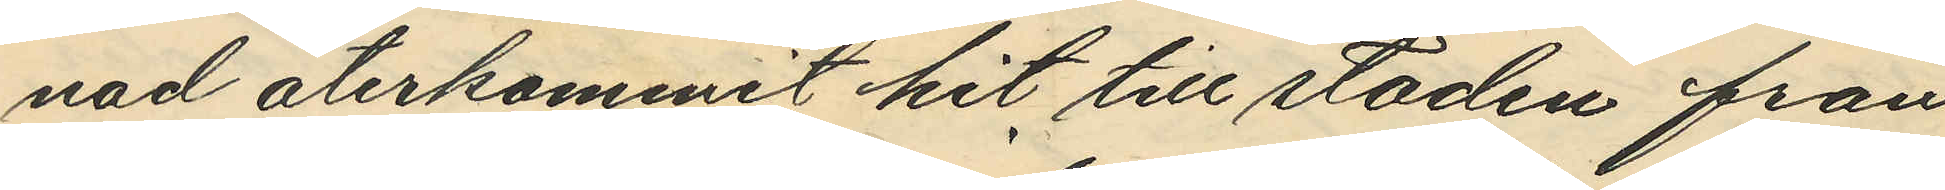nad återkommit hit till staden från
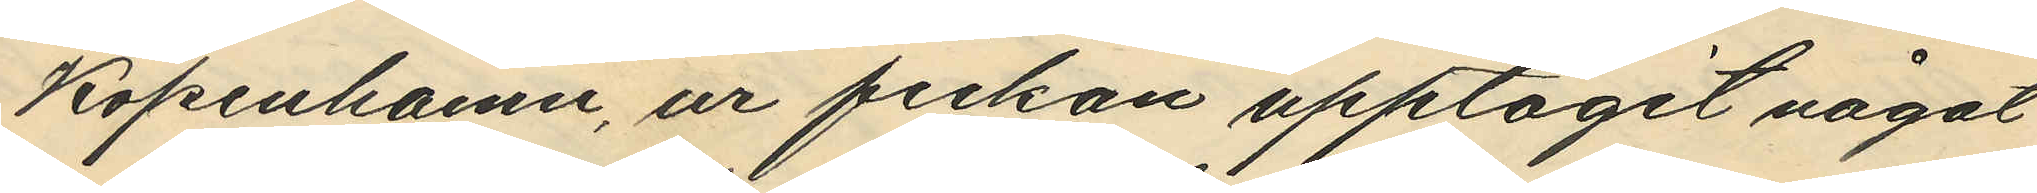Köpenhamn, ur fickan upptagit något
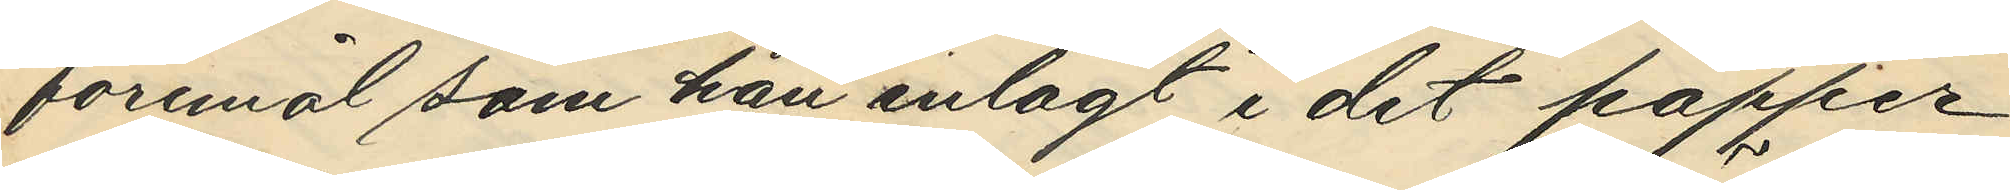föremål som han inlagt i det papper
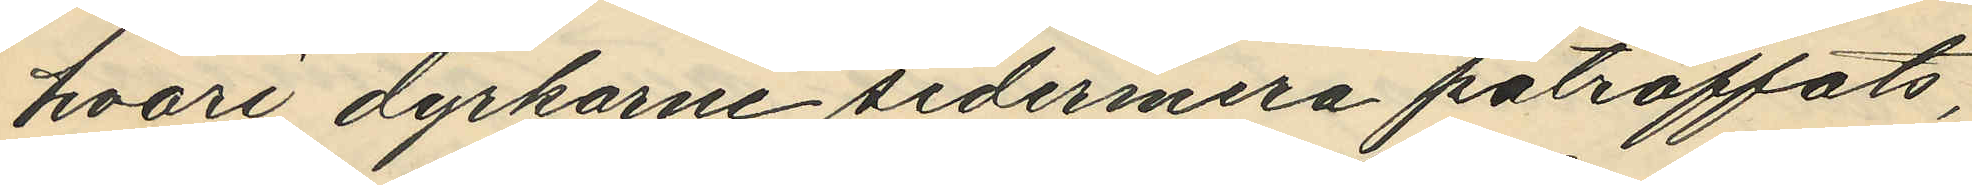hvari dyrkarne sedermera påträffats,
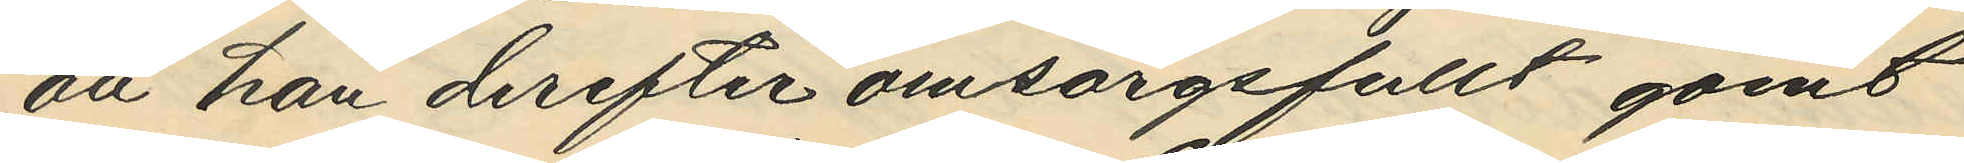att han derefter omsorgsfullt gömt
